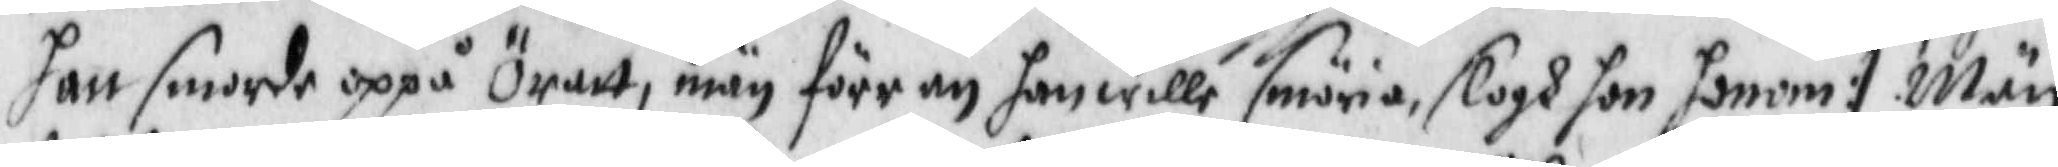han smorde oppå Öratt, män förr än han wille smöria, slogh hon honom :/ Män
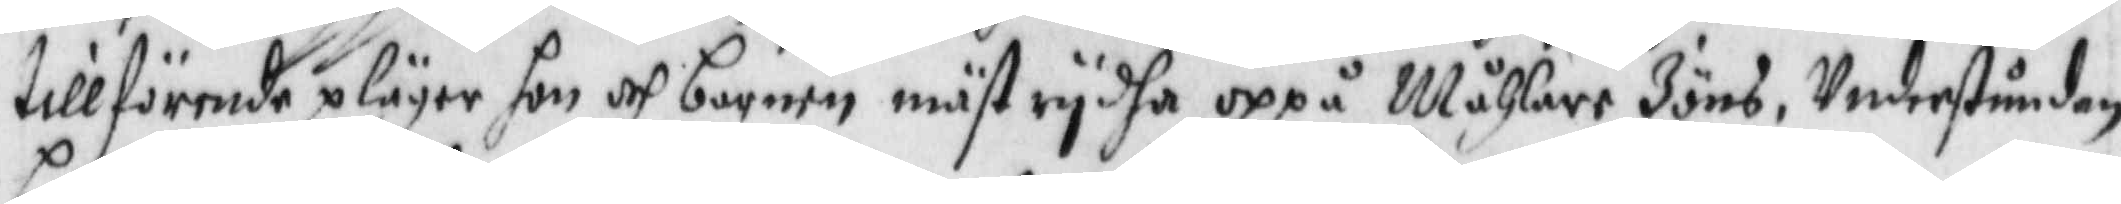tillförende plägar hon och barnen mäst rydha oppå Måhlare Jöns, Understundom
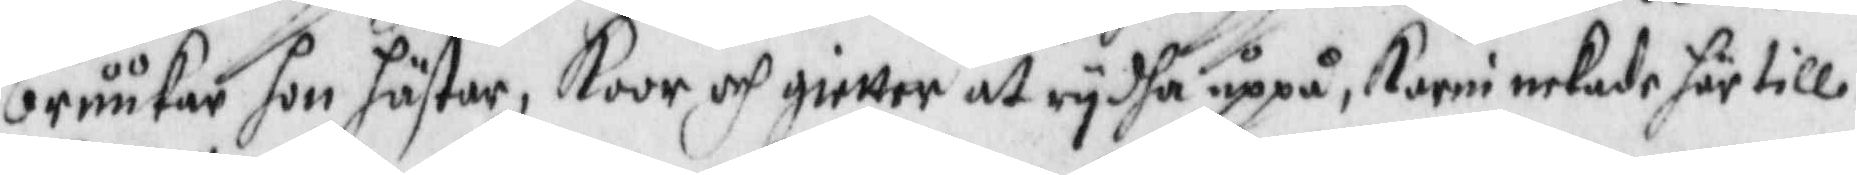bruukar hon hästar, Koor och gietter at rydha uppå, Karin nekade här till.
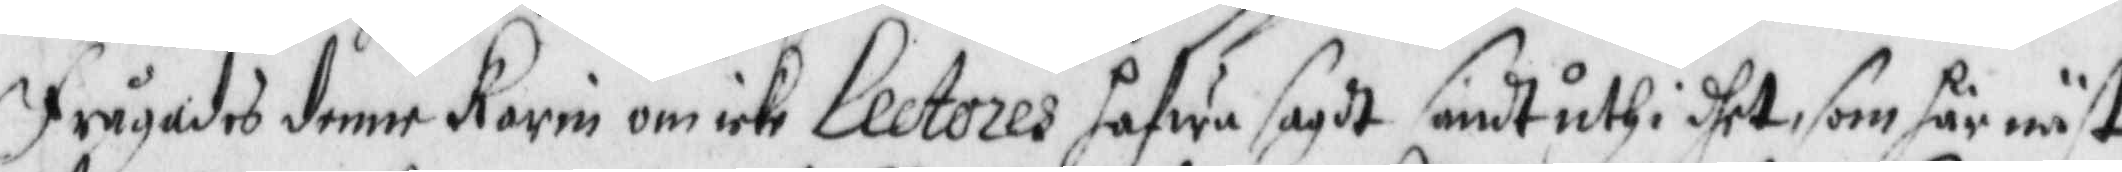frågades denne Karin om icke Lectores hafwa sagdt sandt uthi dhet, som här näst
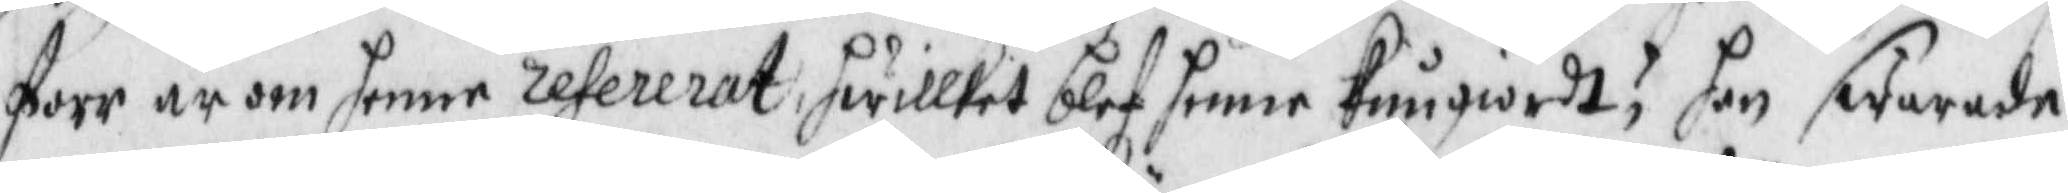forr är om henne refererat, hwilket blef henne kungiordt, hon swarade,
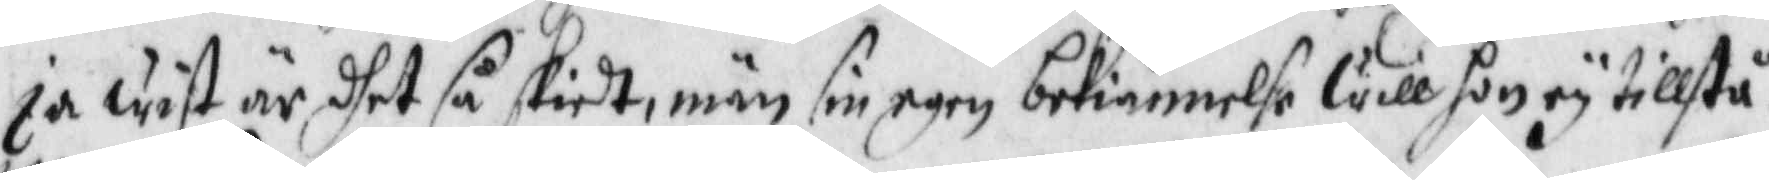ja wist är dhet så skiedt, män sin egen bekiännelse will hon ey tillstå.
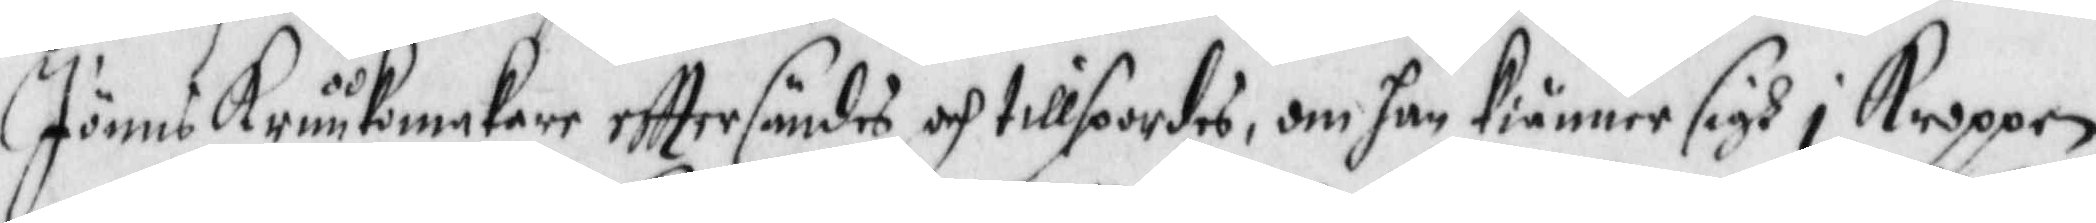Jöns Kruukmakare efttersändes och tillspordes, om han kiänner sigh i Kroppan
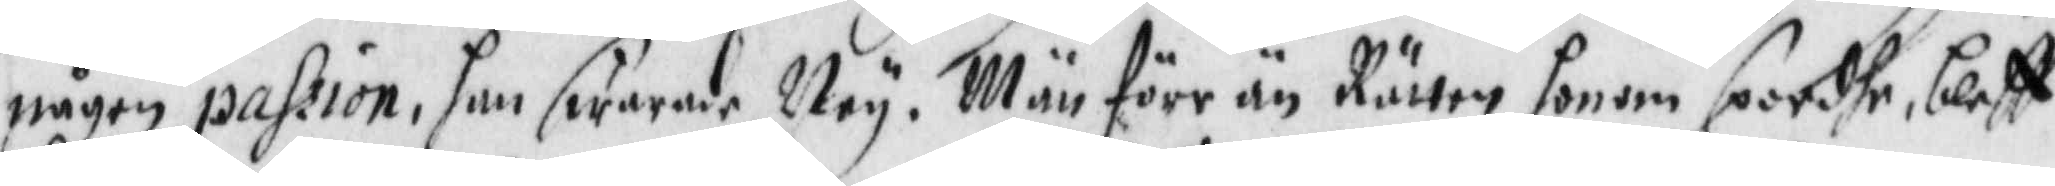någon passion, han swarde Ney. Män förr än Rätten honom sporde, bleff
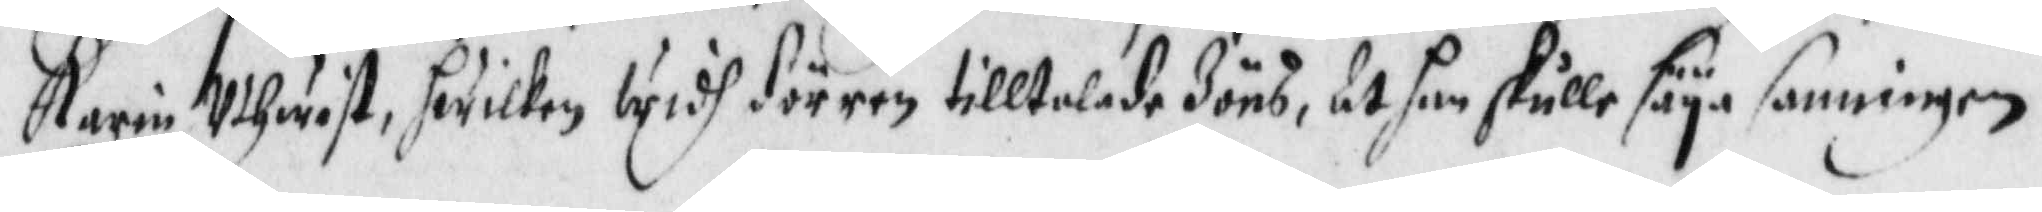Karin Uthwist, hwilken widh dörren tilltalade Jöns, at han skulle säya sanningen.
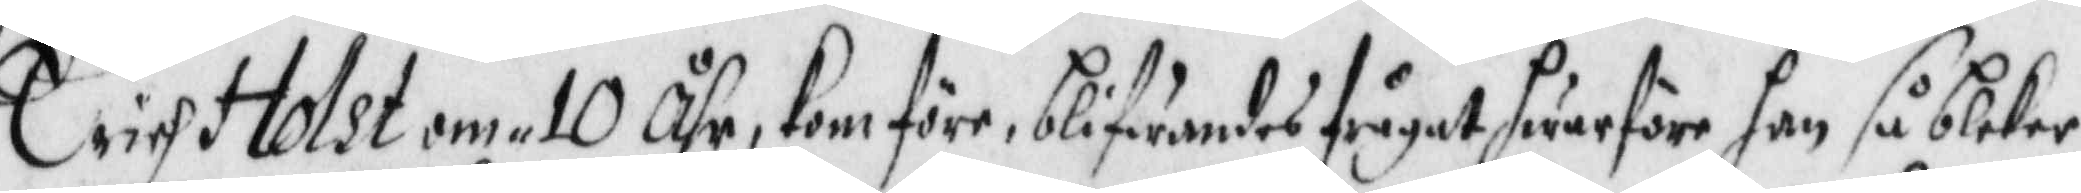Erich Holst om 10 Åhr, kom före, blifwandes frågat hwarföre han så bleker
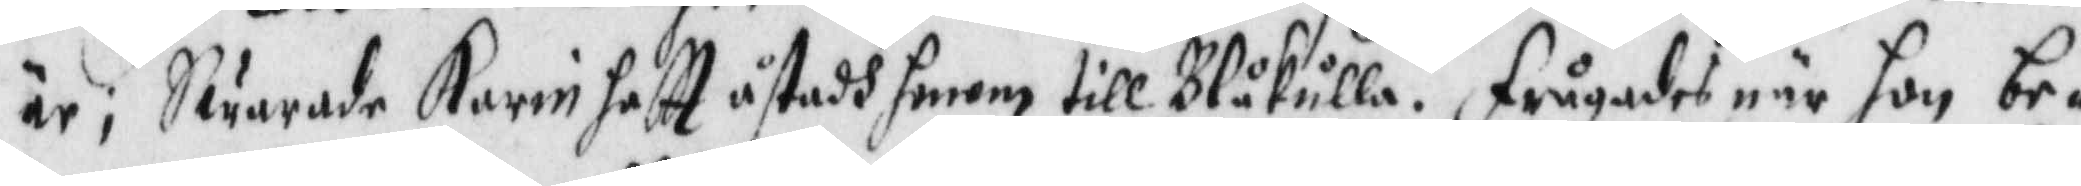är; Swarade Karin haftt åstadh honom till Blåkulla. frågades när hon be¬
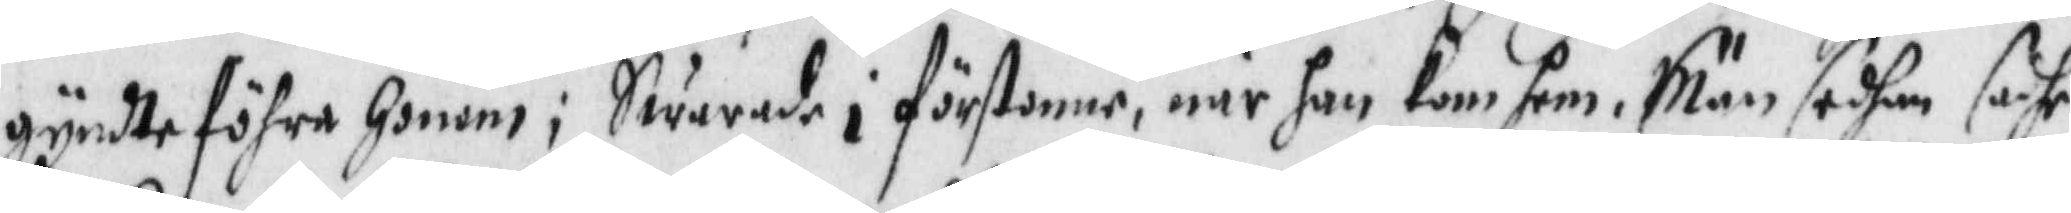gynte föhra honom; Swarade i förstonne, när han kom hem. Män sedhan sadhe
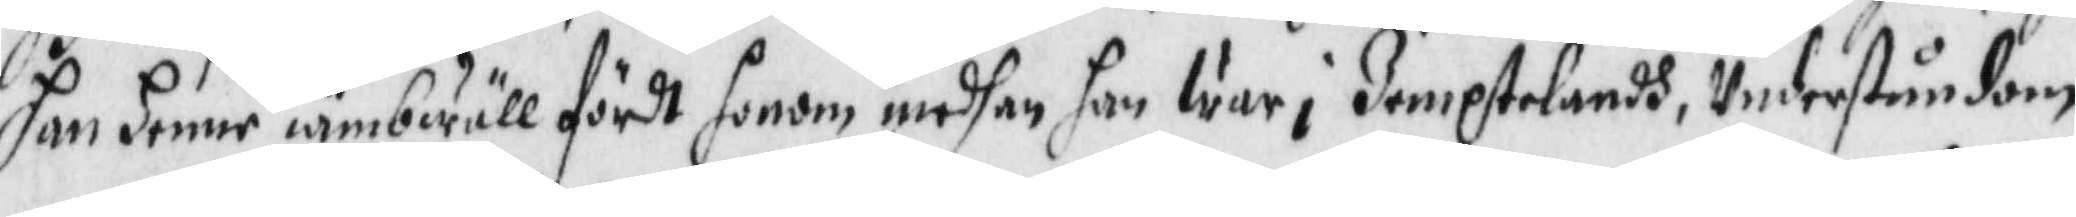han henne iämbwäll fördt honom medhan han war i Jemptelandh, Understundom
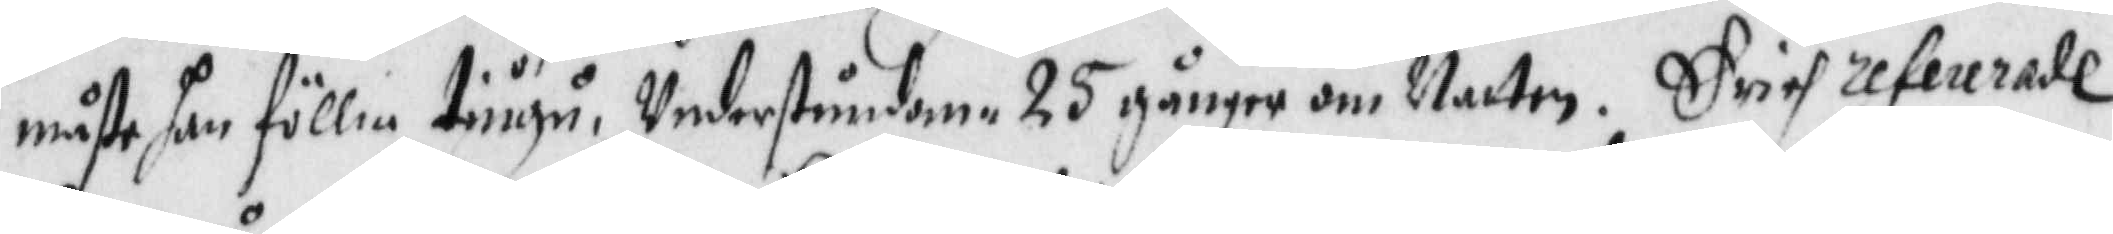måtte han föllia tiugu, Understundom 25 gånger om natten. Erich refererade
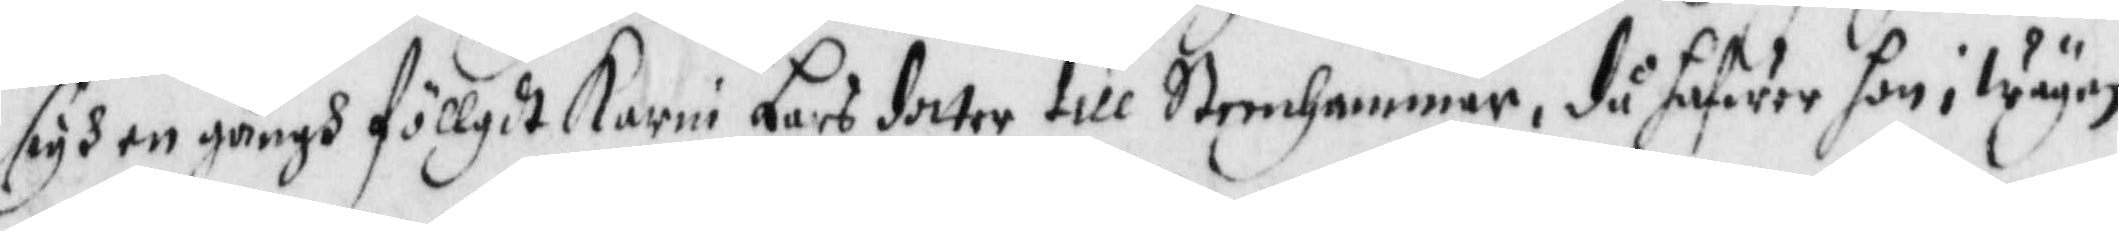sigh en gångh föllgdt Karin Lars dotter till Steenhammar, då hafwer hon i wägen
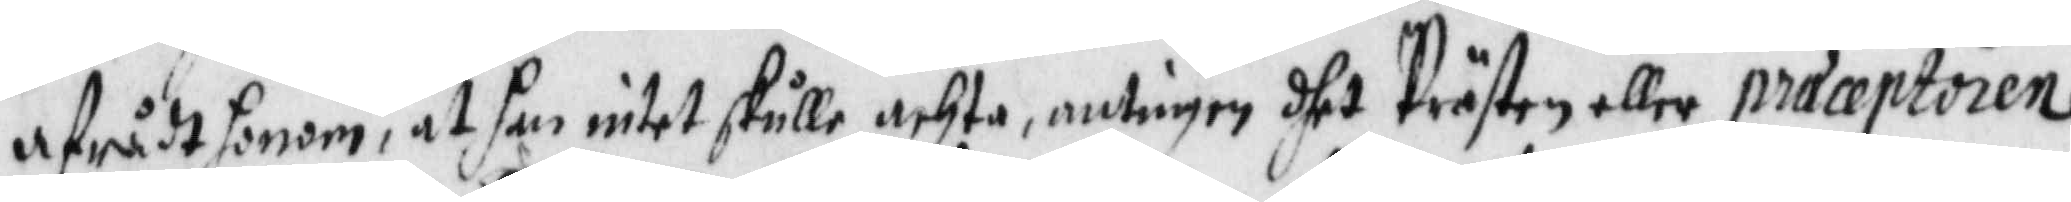afrådt honom, at han intet skulle achta, antingen dhet Prästen eller præceptoren
